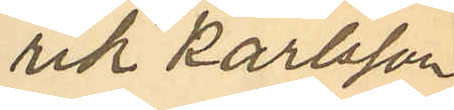rik Karlsson
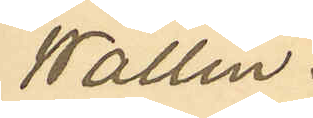Wallin.
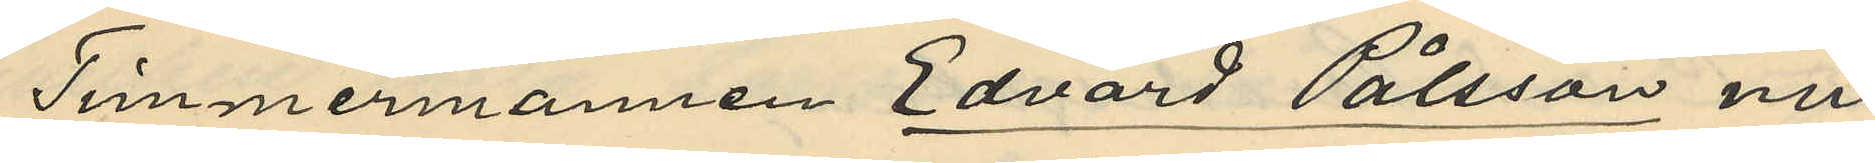Timmermannen Edvard Pålsson nu
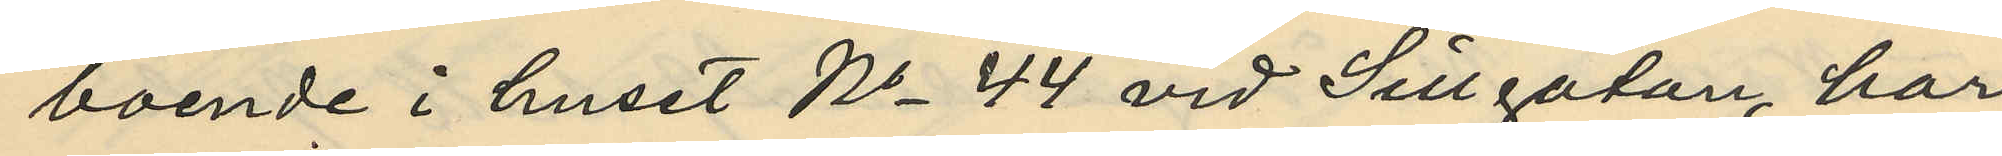boende i huset No 44 vid Sillgatan, har
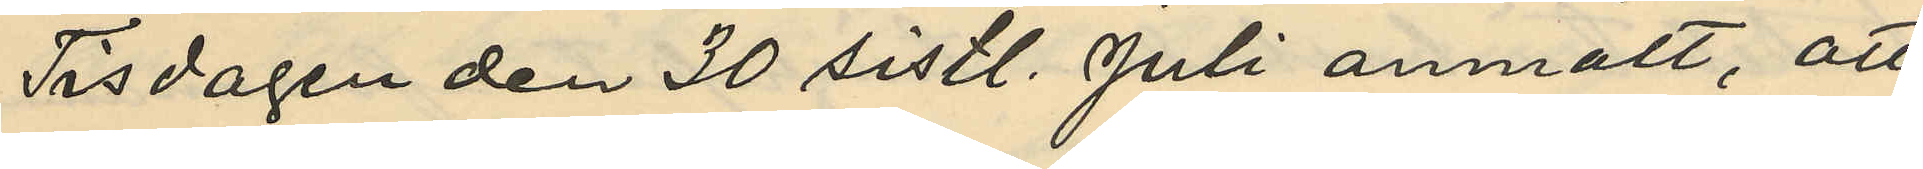Tisdagen den 30 sistl. Juli anmält, att
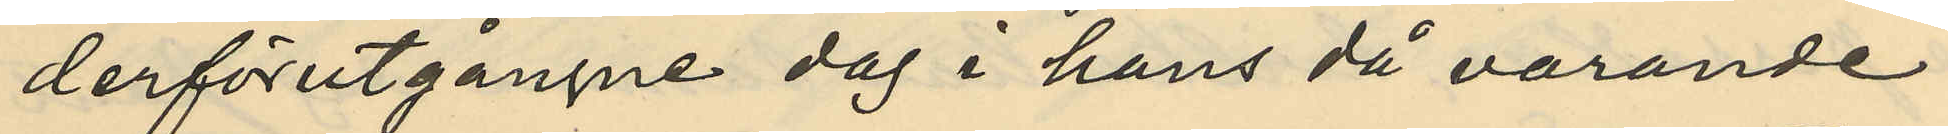derförutgångne dag i hans då varande
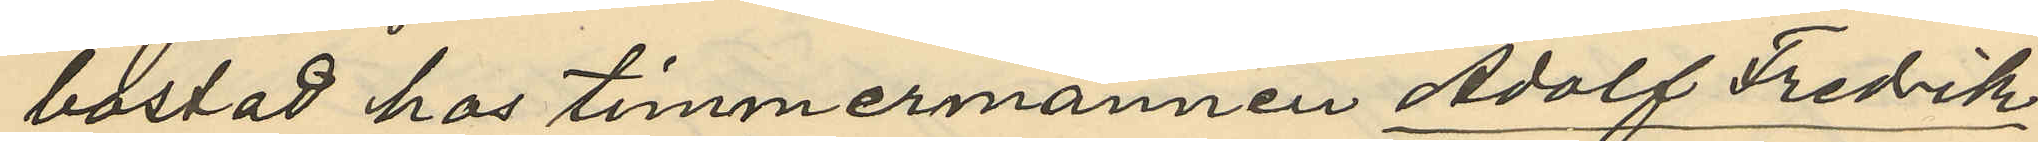bostad hos timmermannen Adolf Fredrik
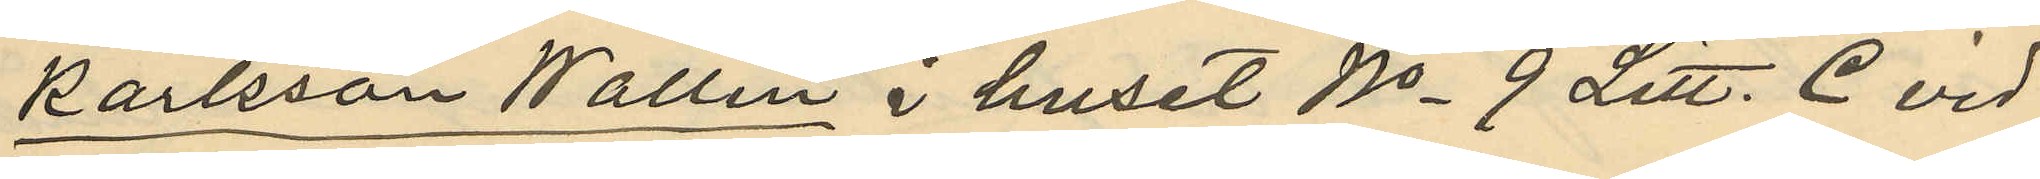Karlsson Wallin i huset No 9 Litt. C vid
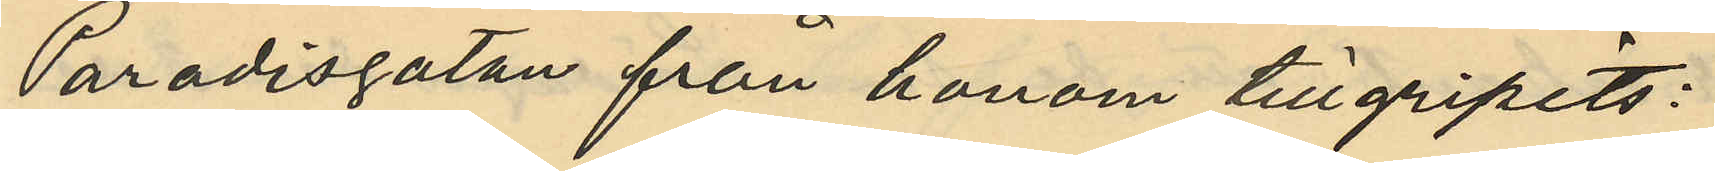Paradisgatan från honom tillgripits:
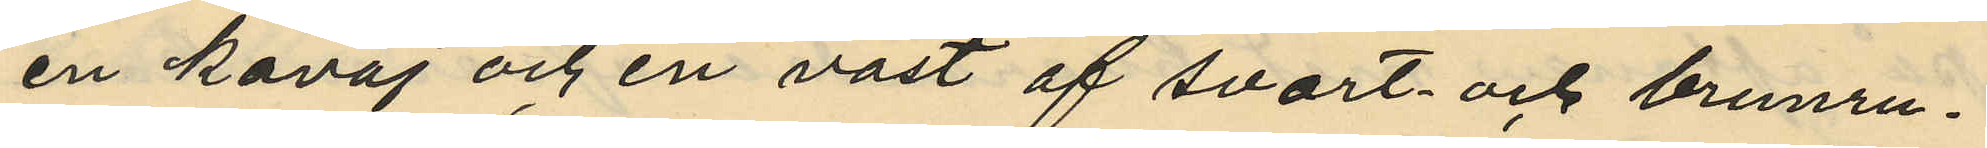en kavaj och en väst af svart och brunru¬
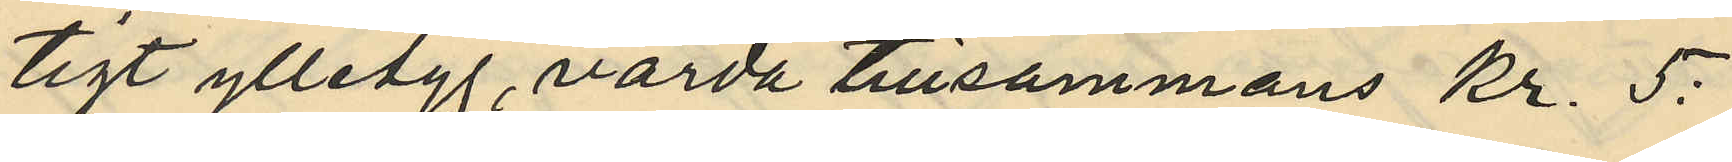tigt ylletyg, värda tillsammans kr. 5:
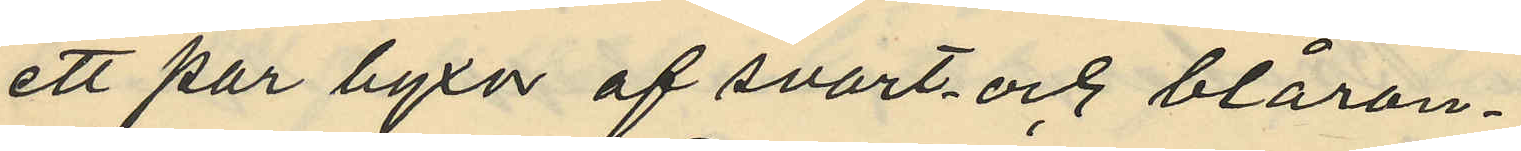ett par byxor af svart och blåran¬
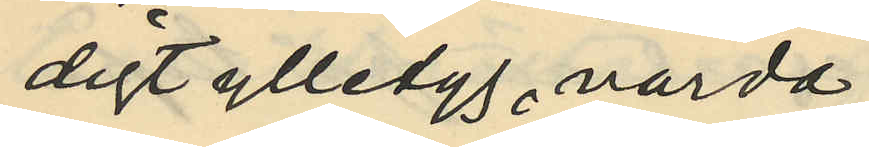digt ylletyg, värda
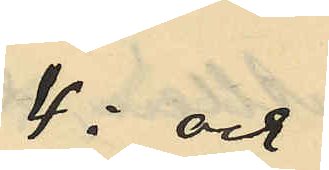4: och
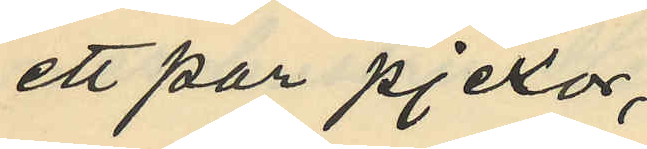ett par pjexor,
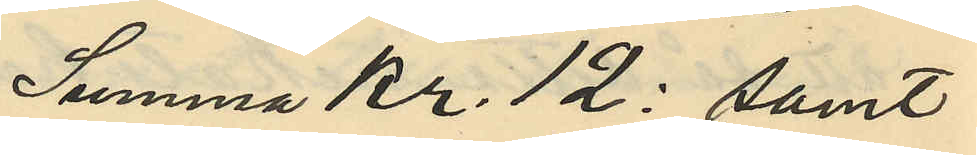Summa Kr. 12: samt
